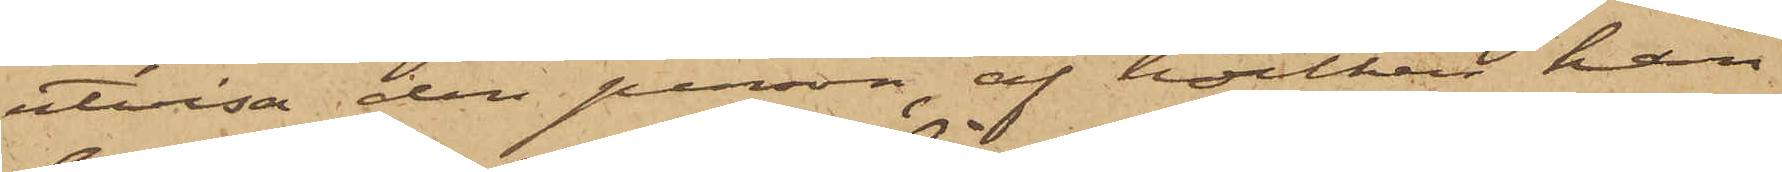utvisa den person, af hvilken han
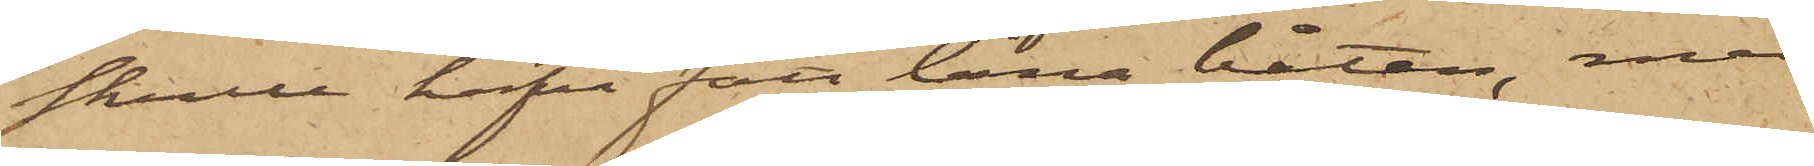skulle hafva fått låna båten, men
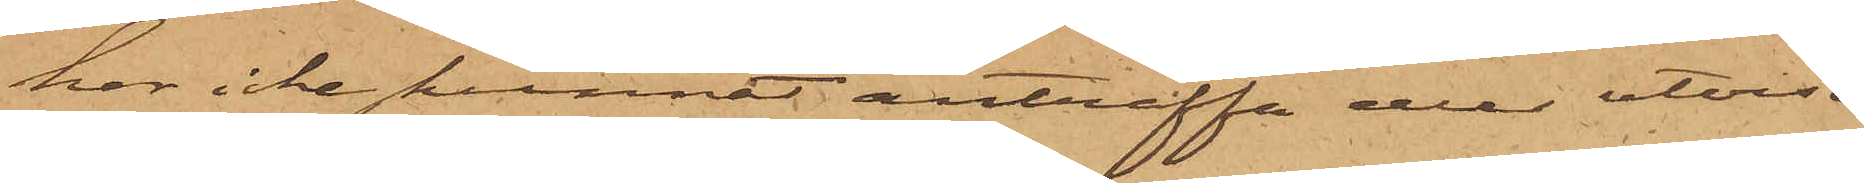har icke kunnat anträffa eller utvisa
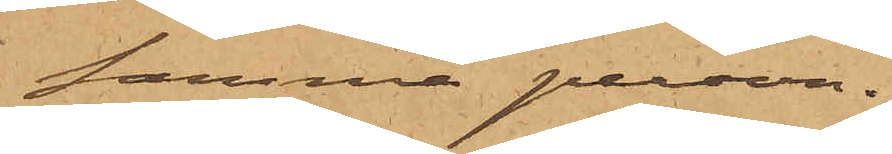samma person.
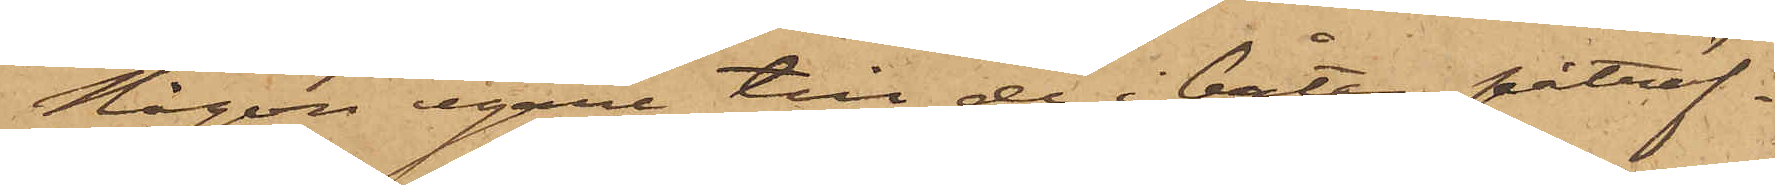Någon egare till de i båten påträf¬
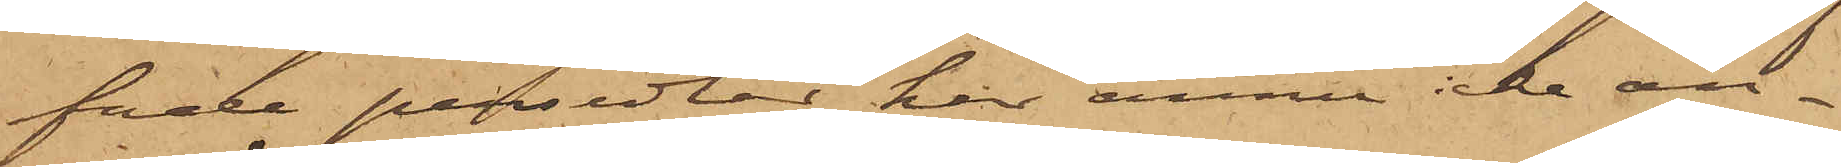fade persedlar, har ännu icke an¬
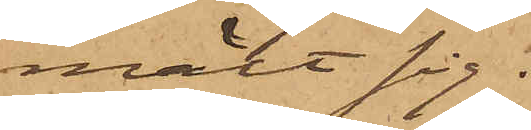mält sig.
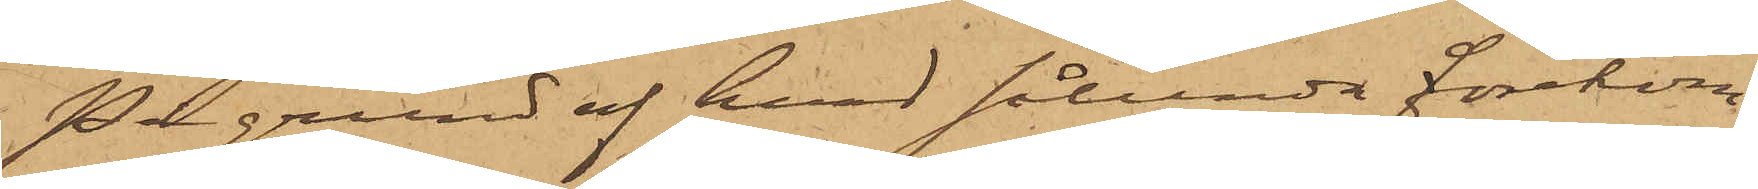På grund af hvad sålunda förekom¬
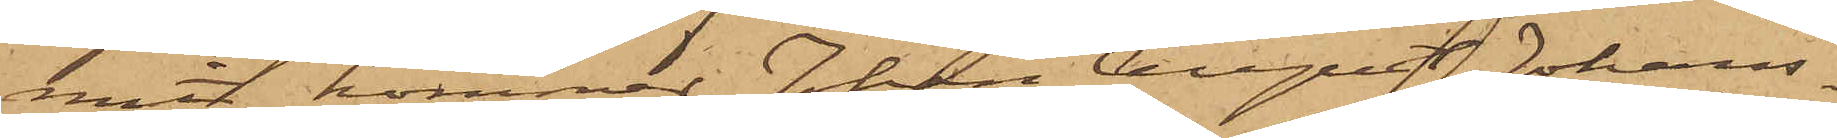mit, kommer Johan August Johans¬
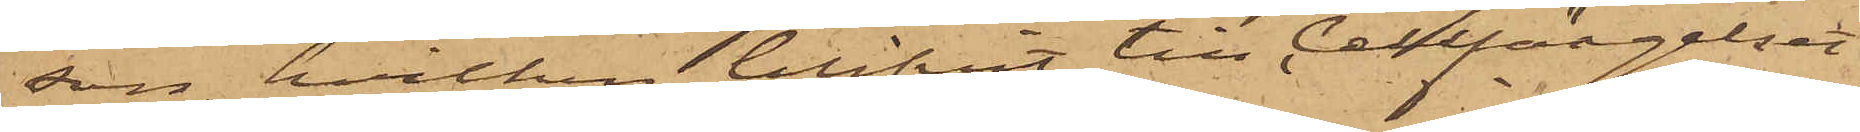son, hvilken blifvit till Cellfängelset
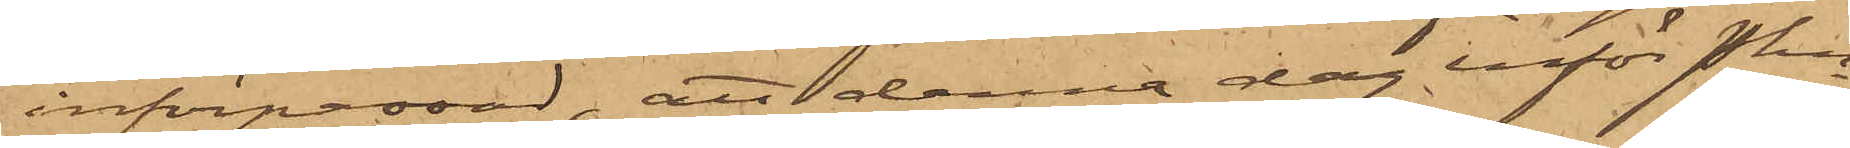införpassad, att denna dag inför Pkn
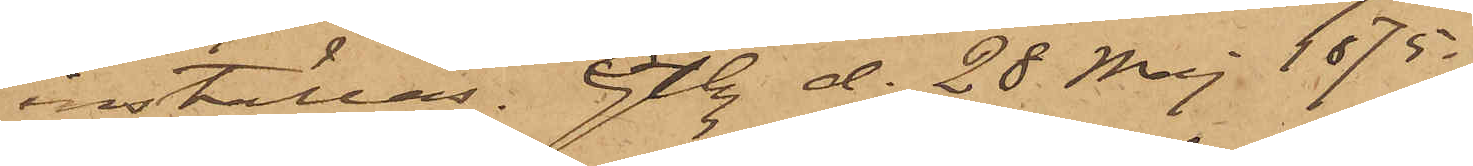inställas. Gtbg d. 28 Maj 1875.
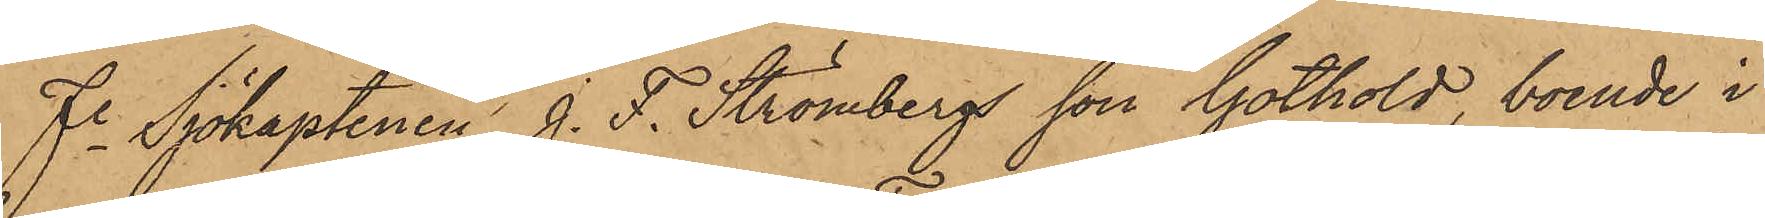Fe Sjökaptenen J. F. Strömbergs son Gothold, boende i
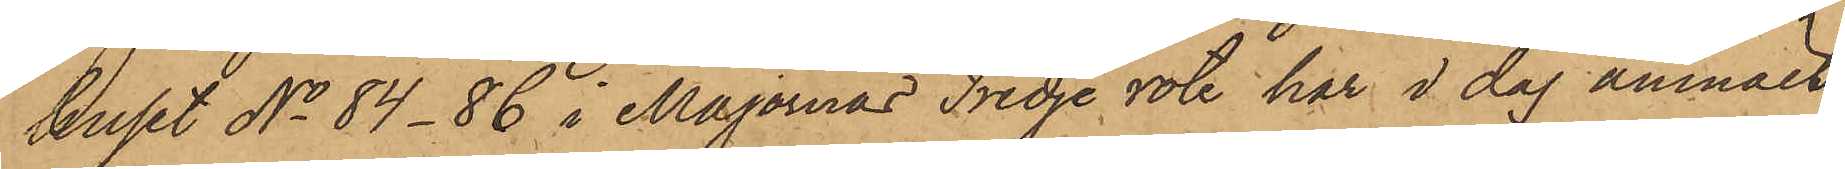huset No 84-86 i Majornas Tredje rote har i dag anmält
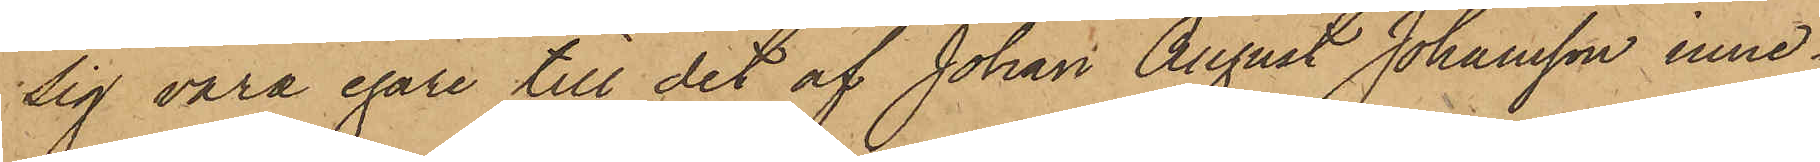sig vara egare till det af Johan August Johansson inne¬
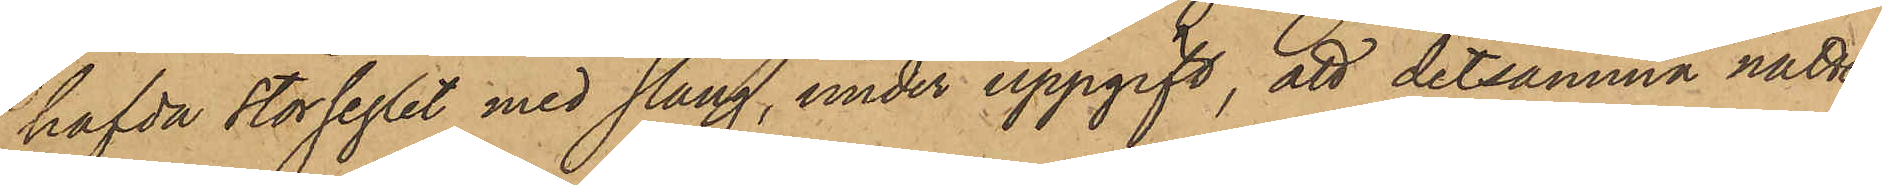hafda storseglet med stång, under uppgift, att detsamma natten
